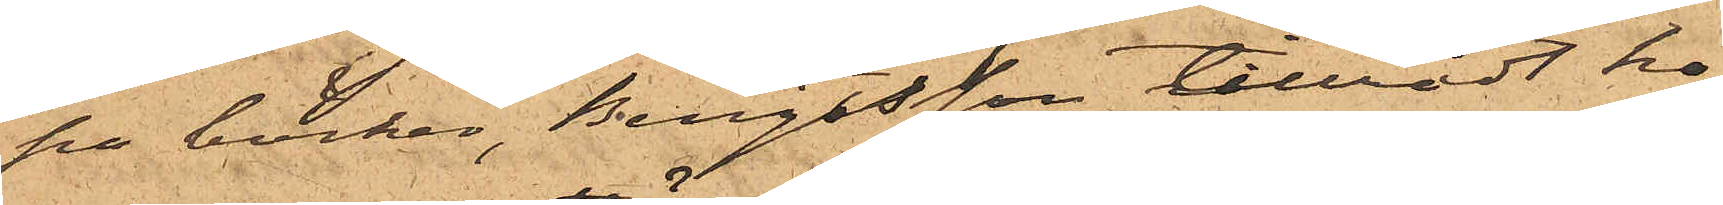pa böcker, Bengtsson tillrådt ho¬
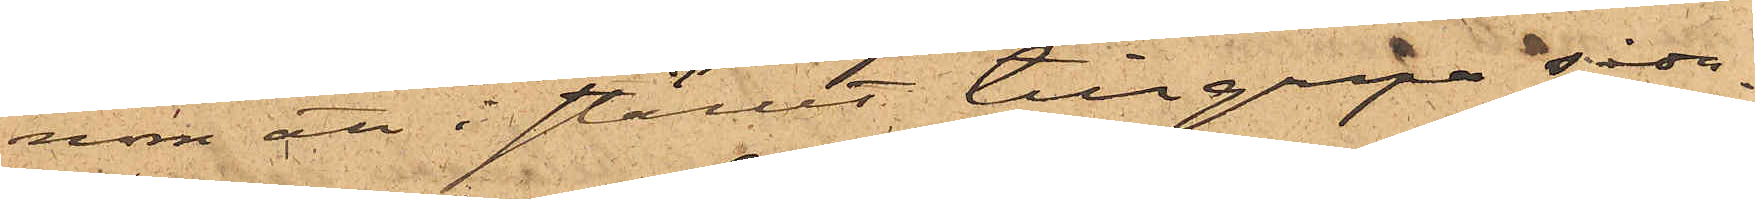nom att i stället tillgripa såda¬
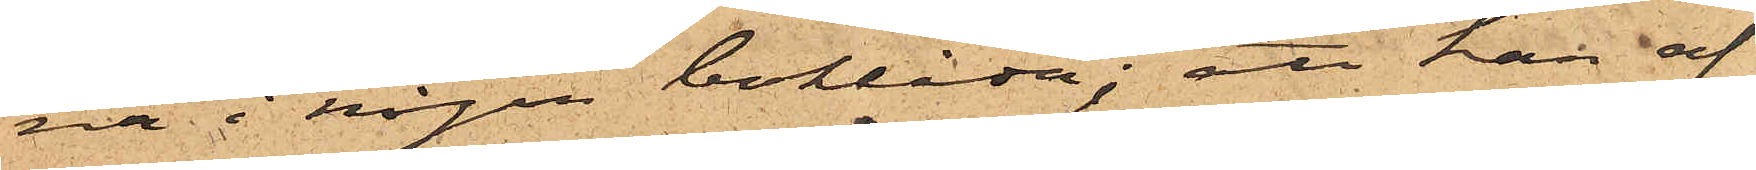na i någon boklåda; att han af
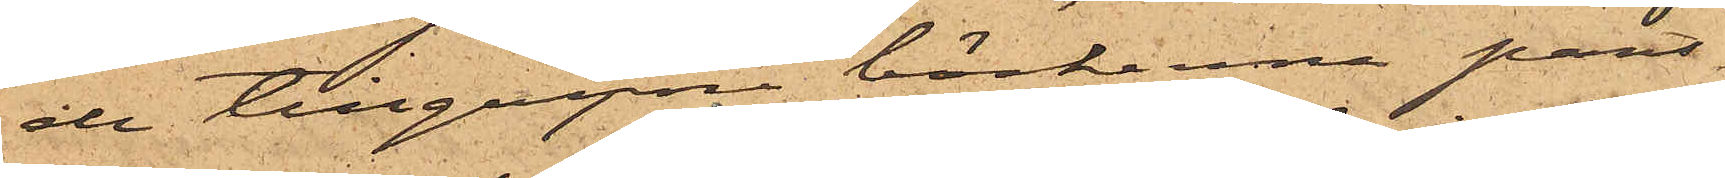de tillgripne böckerna pant¬
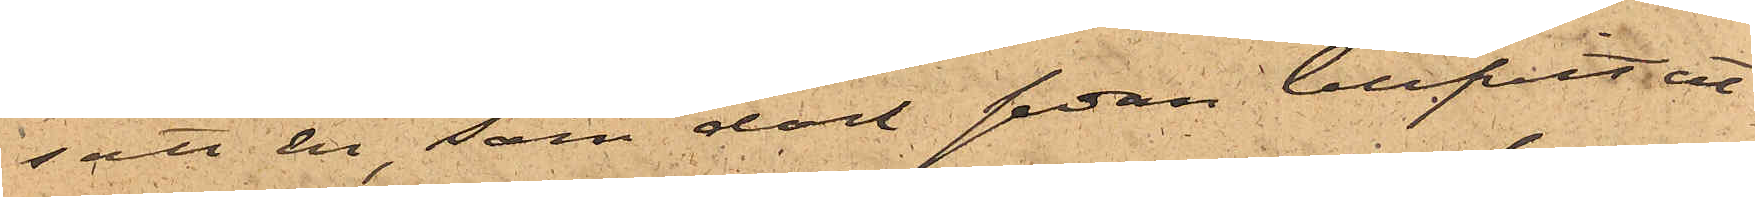satt en, som dock sedan blifvit ut¬
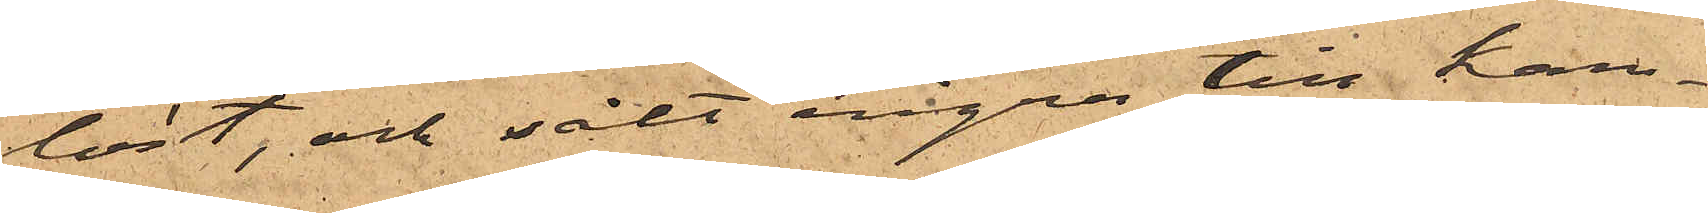löst, och sålt några till kam¬
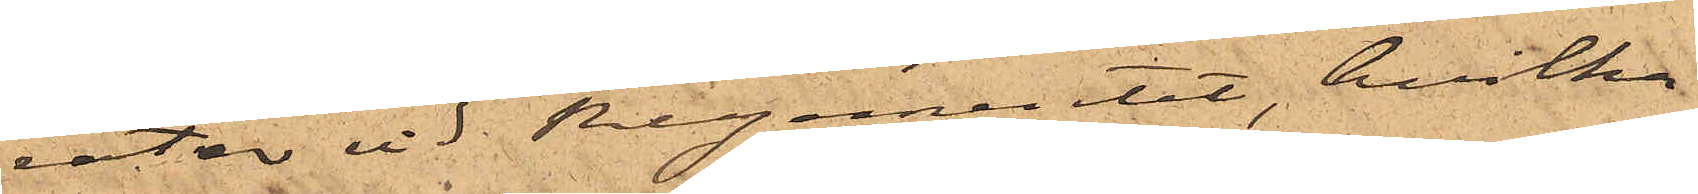rater vid Regementet, hvilka
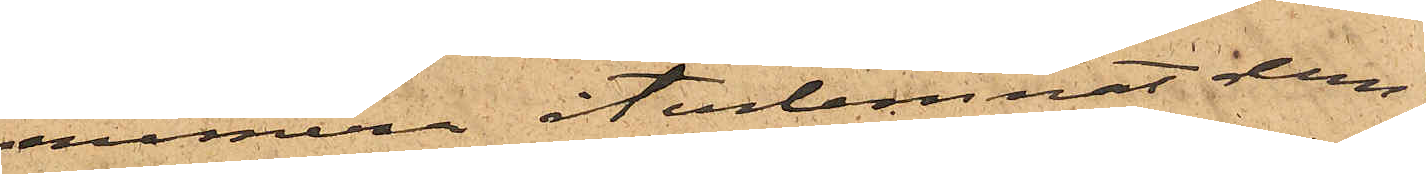numera återlemnat dem;
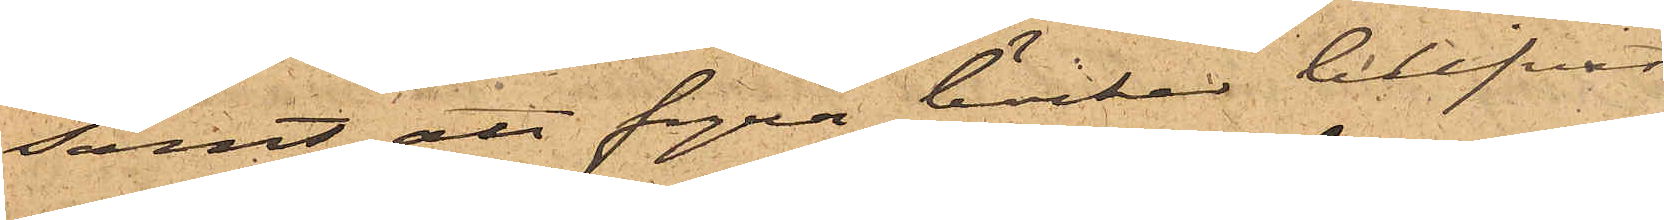samt att fyra böcker blifvit
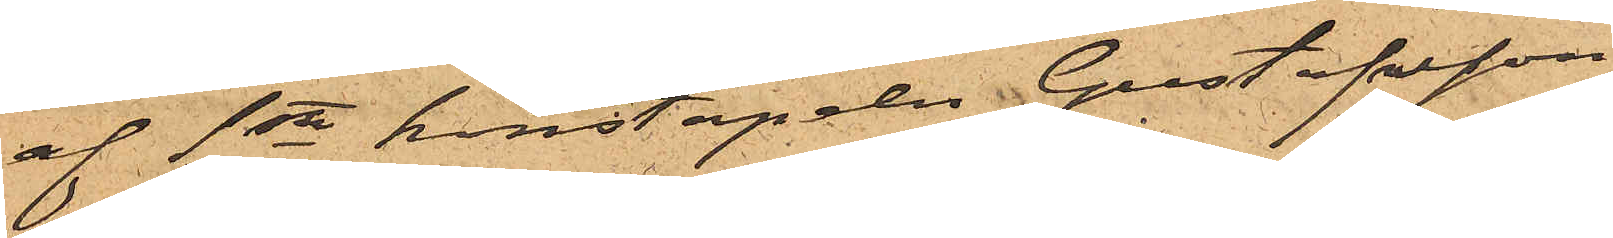af 1ste konstapeln Gustafsson
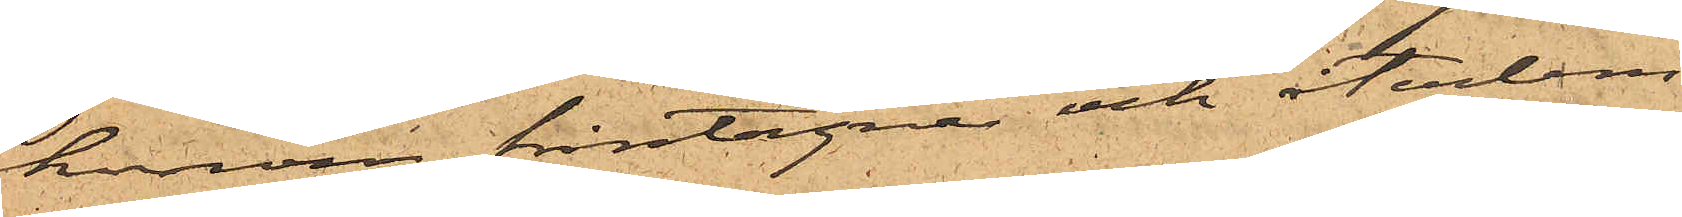honom fråntagne och återlem¬
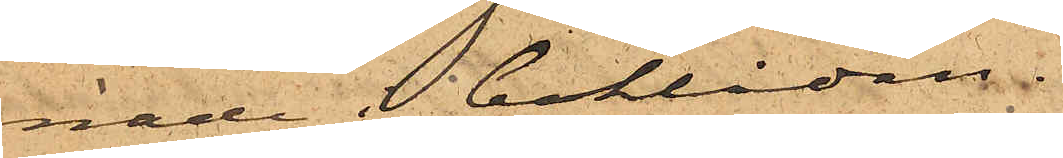nade boklådan.
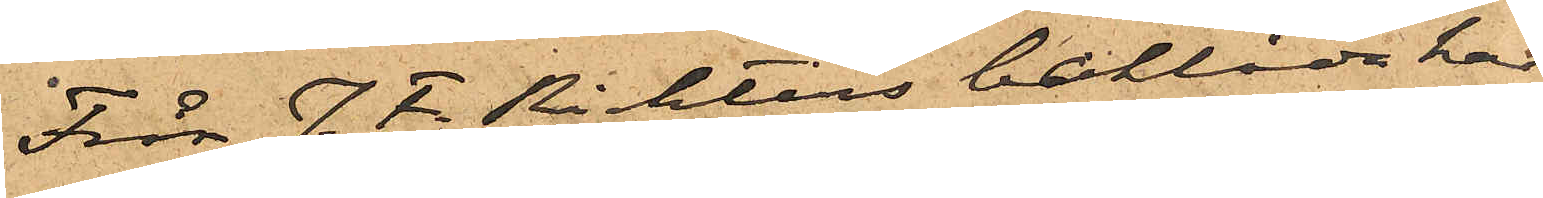Från J. F. Richters boklåda har
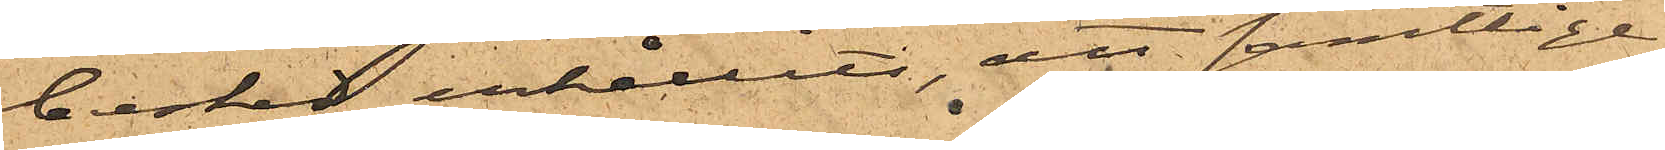besked erhållits, att samtlige
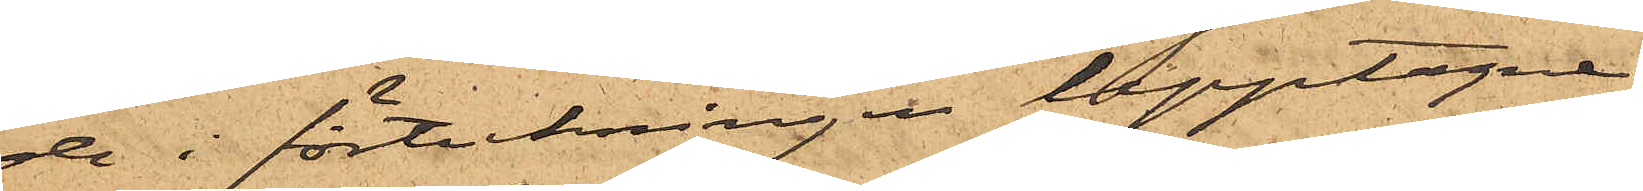de i förteckningen upptagne
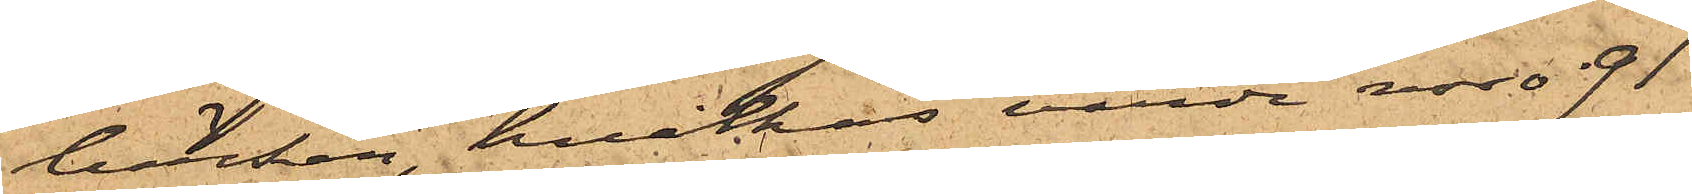böcker, hvilkas värde voro 91
